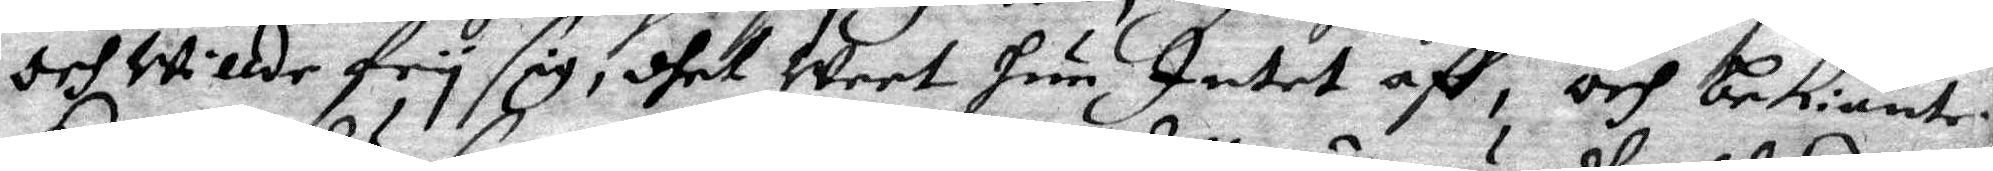och willde fry sig, dhet Weet hun Intet aff, och bekiänte.
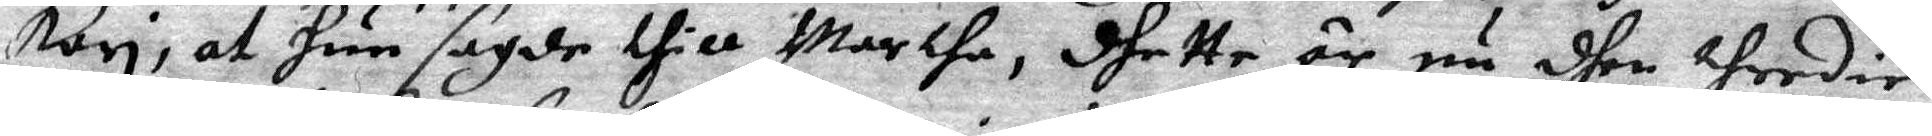Kari, at hun sagde thill Marthe, dhette är nu dhen thredie
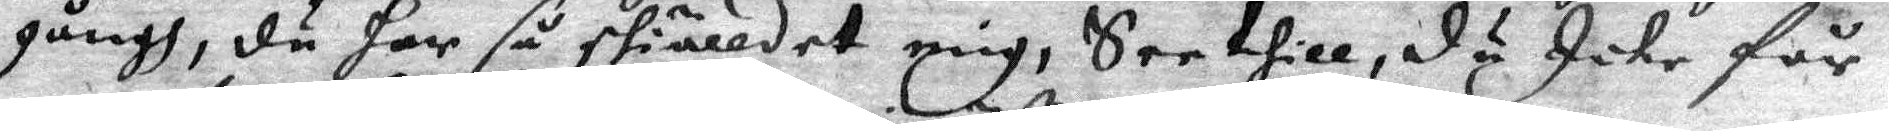gångh, du har så skiälldet mig, See thill, du icke får
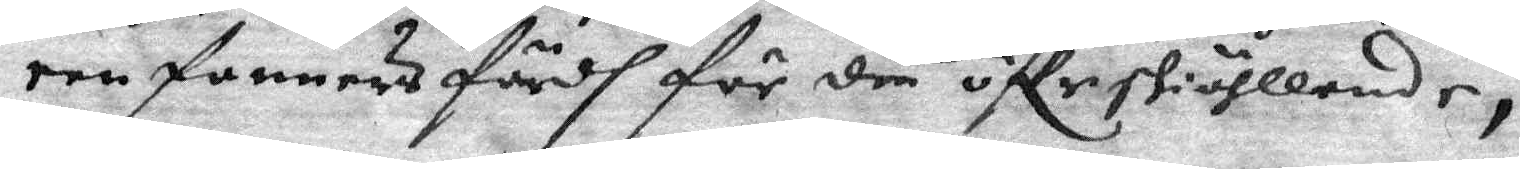een fanners färdh för din öffrskiöhllande,
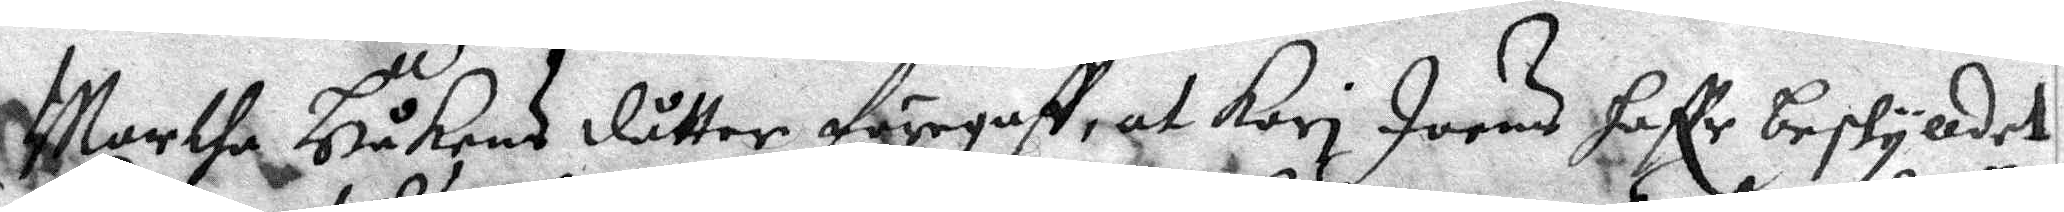Marthe Håkans dåtter föregaff, at Kari Joeas haffr beskylldet
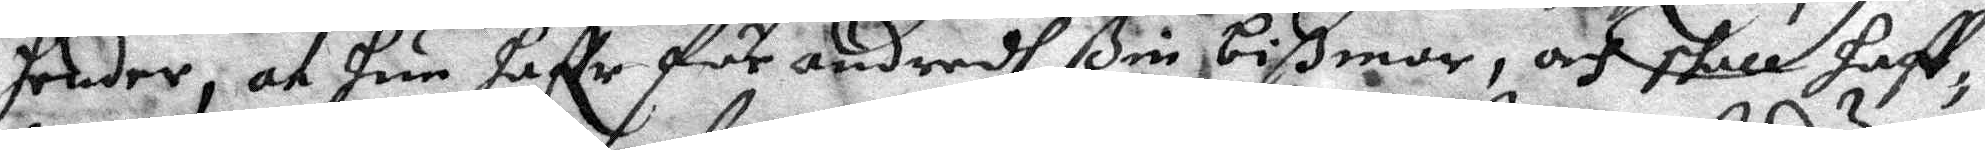hender, at hun haffr för andredh ßin bißmor, och skall haff¬
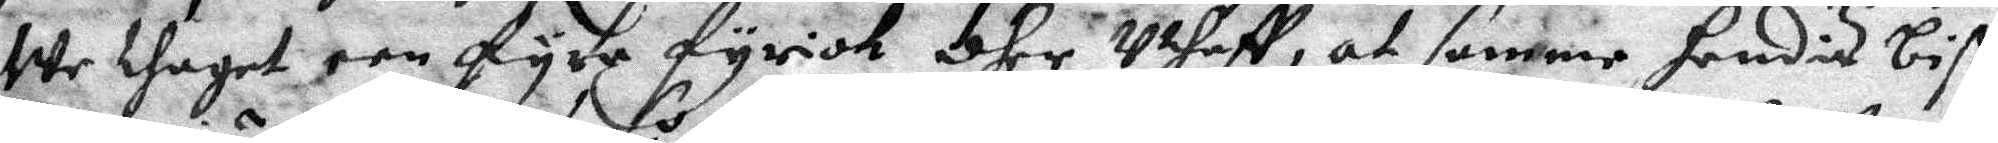We thaget een fyre fyrick dher Uthaff, at samme hendis biß¬
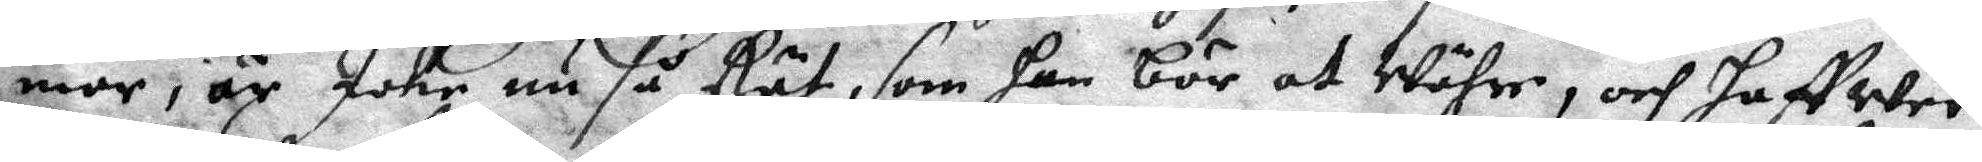mor, är Icke nu så Rät, som han bör at Währe, och haffwer
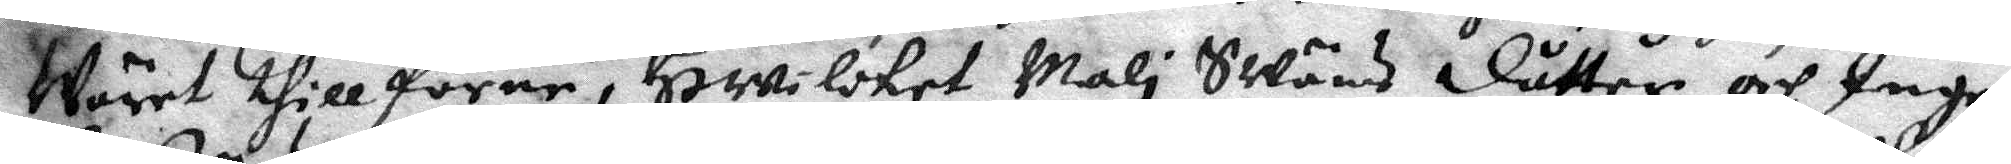Wäret thillförne, Hwilcket Mali Swäns dåtter och Inge¬
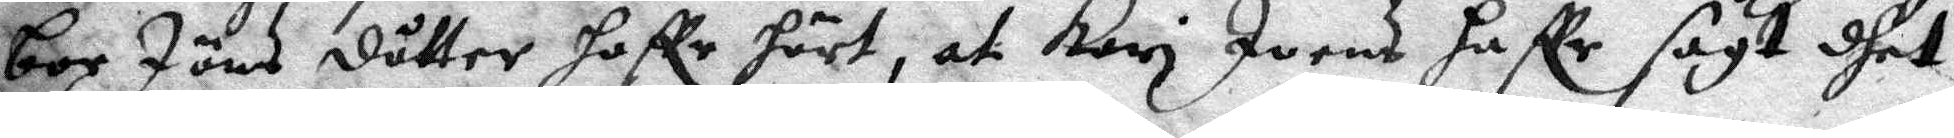bor Jöns dåtter haffr hört, at Kari Joens haffr sagt dhet
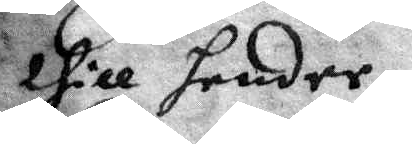thill hender,
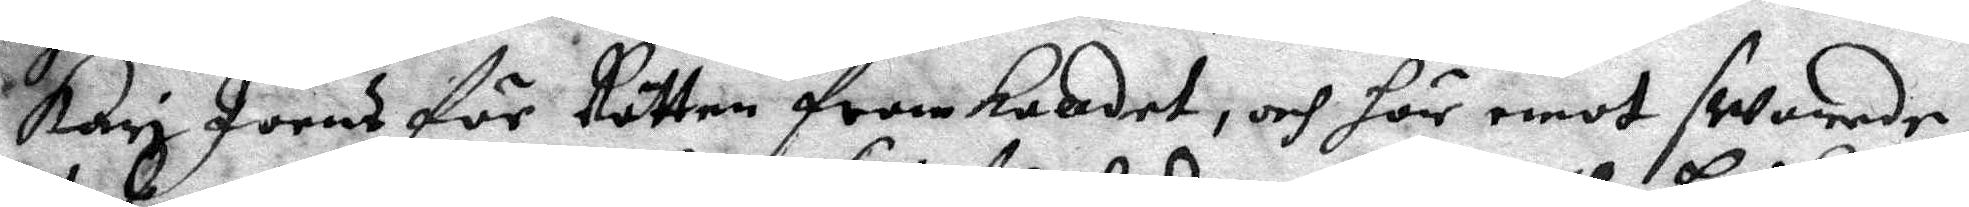Kari Joens för Rätten framkalldet, och här emot swarade
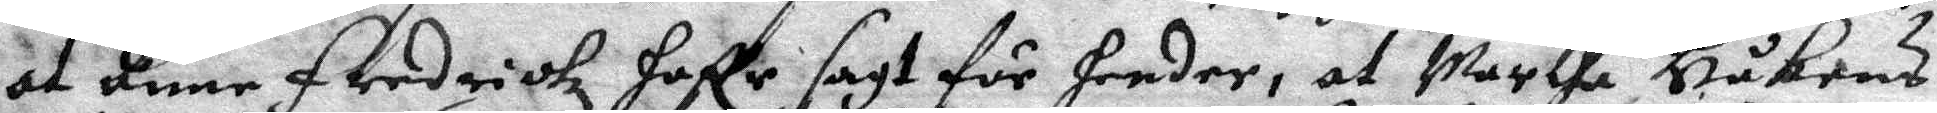at Anne fredrichz haffr sagt för hender, at Marthe Håkens
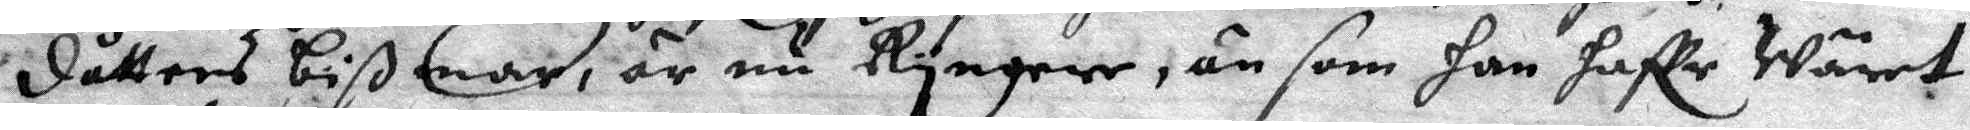dåtters bißmar, är nu Ryngere, än som han haffr Wäret
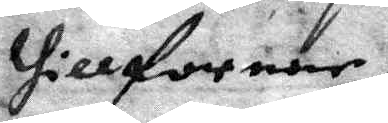thillforene,
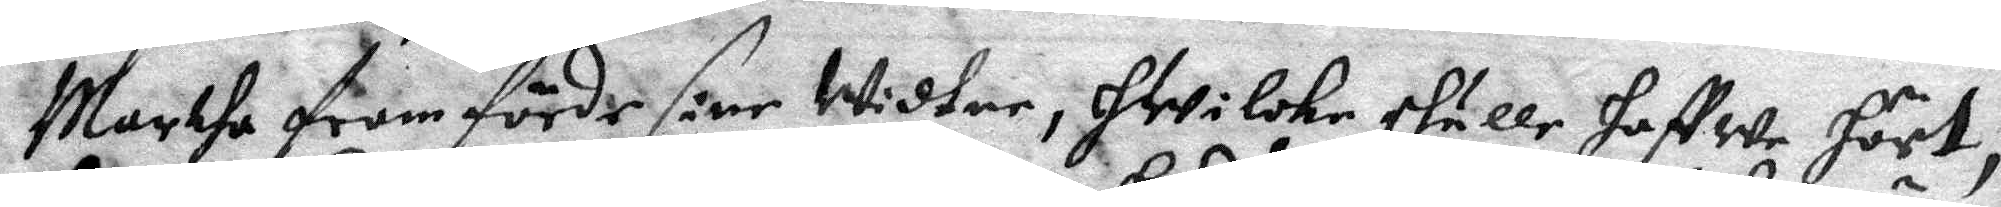Martha framförde sine Widtne, hwilcke skulle haffwe hört,
